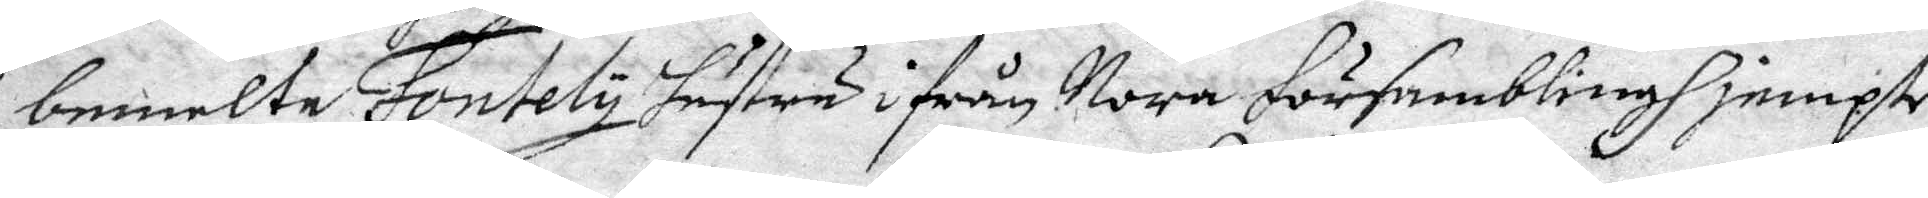bemelte Fontely hustru ifrån Nora församblingh jempte
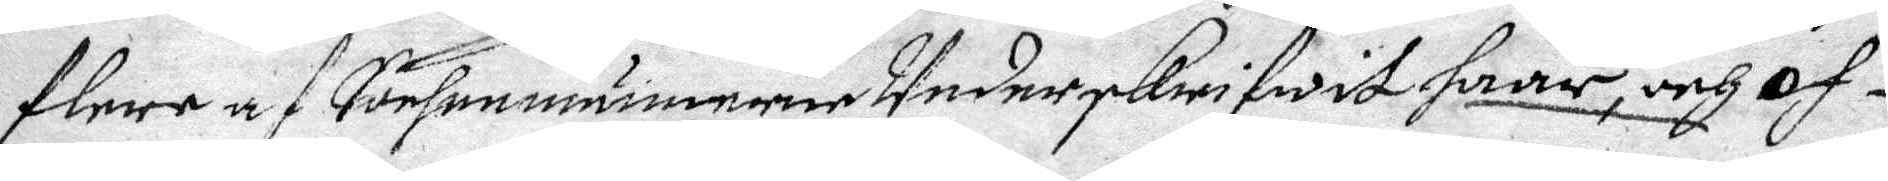flere af Sochnemännerne Underskrifwit haar, och of¬
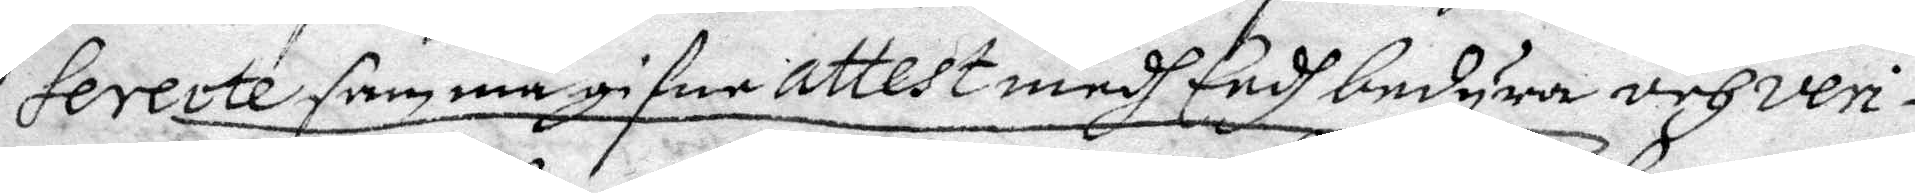fererte samma gifne attest medh Eedh bedyra och veri¬
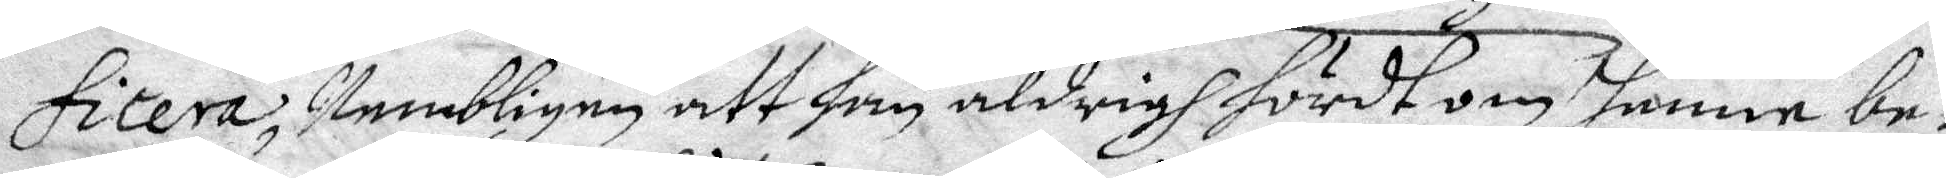fitera, Nembligen att han aldrig hördt om henne be¬
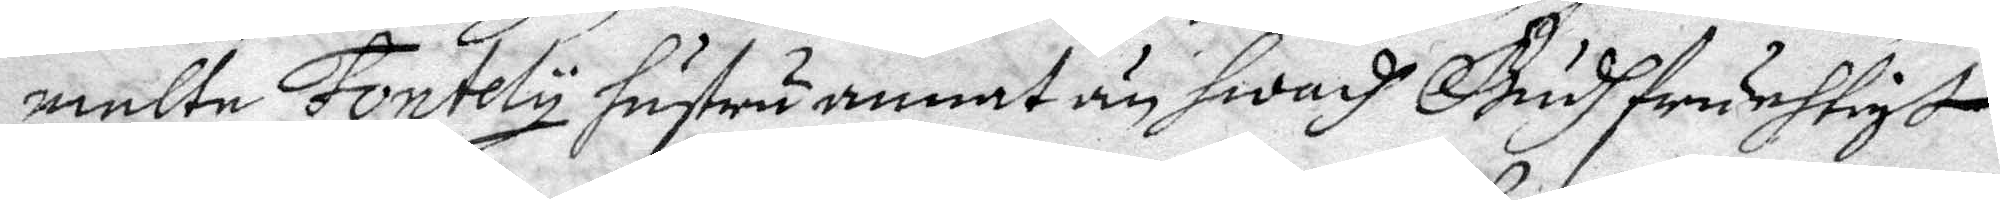melte Fontely hustru annat än hwadh Gudhfruchtigt
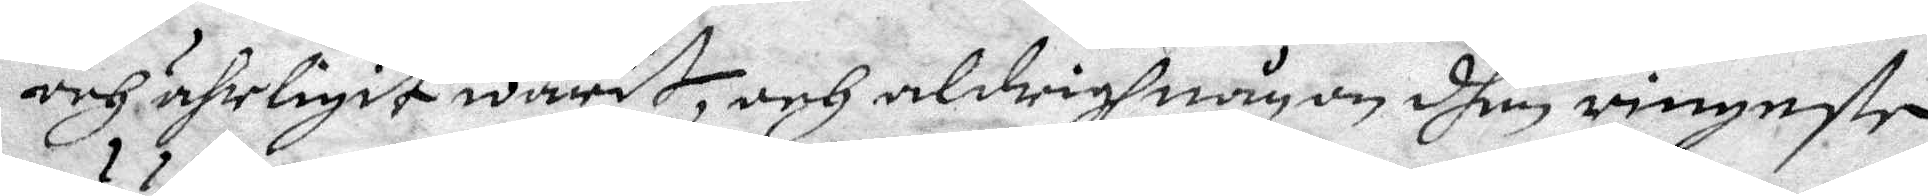och ährligit warit, och aldrigh någin dhen ringaste
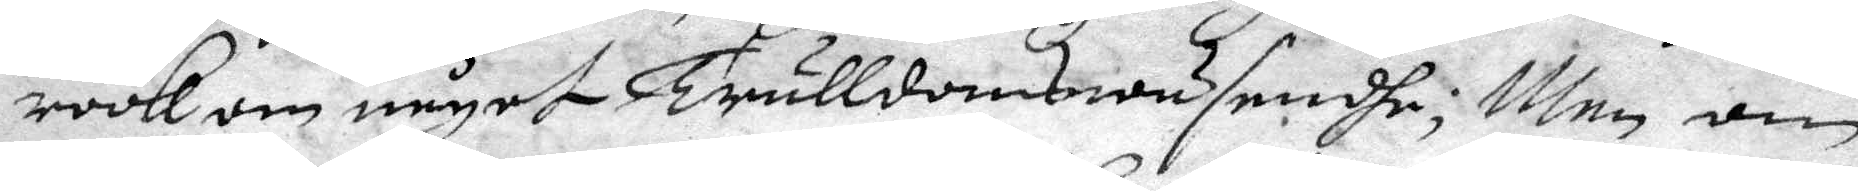röök om något Trulldomswäsendhe; Men om
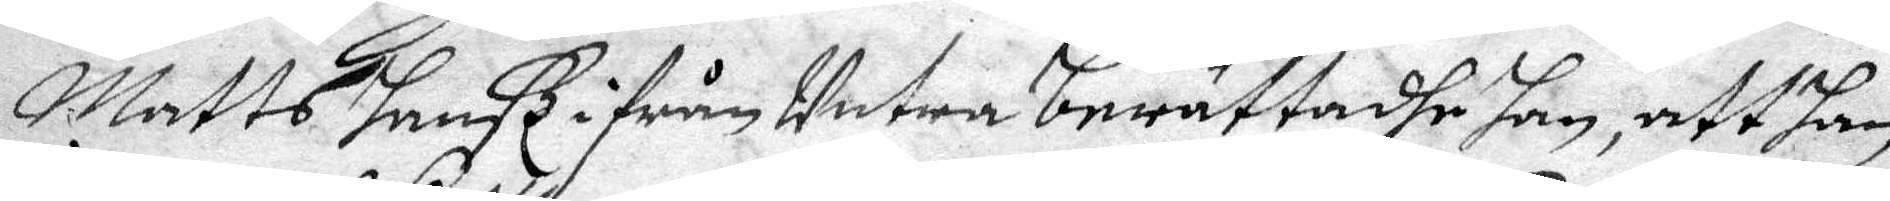Matts hanß ifrån Untra berättadhe han, att han
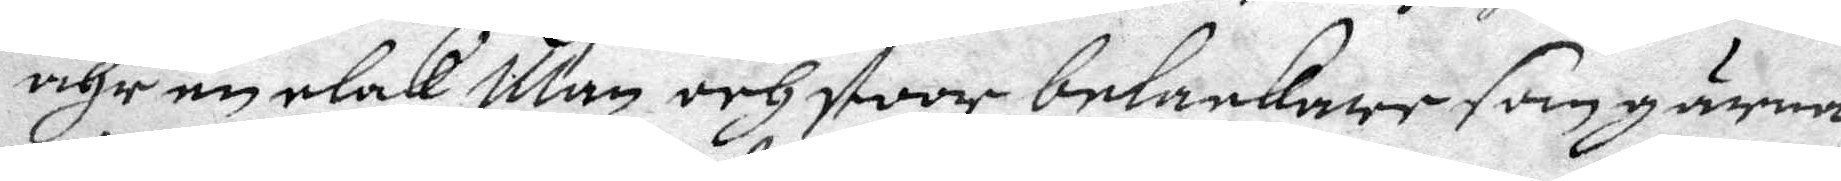ähr en elak Man och stoor belackare som gärna
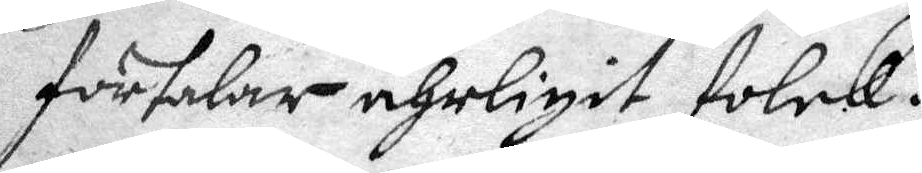förtalar ährligit folck.
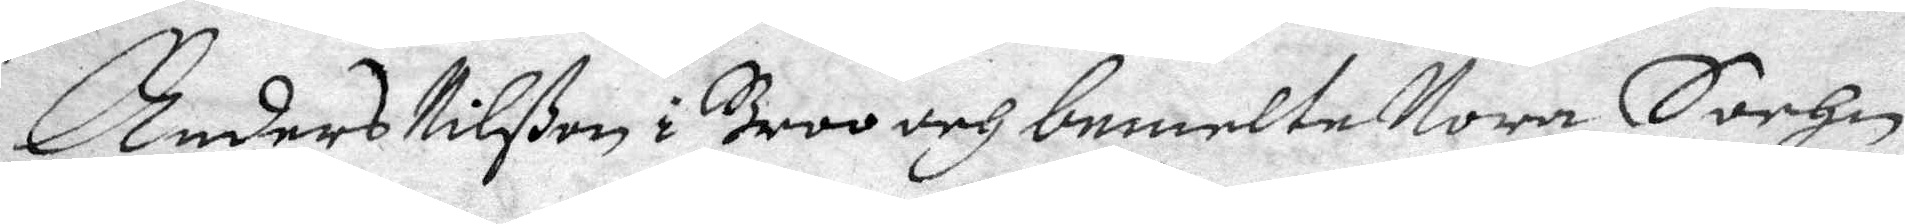Anders Nilßon i Broo och bemelte Nora Sochn
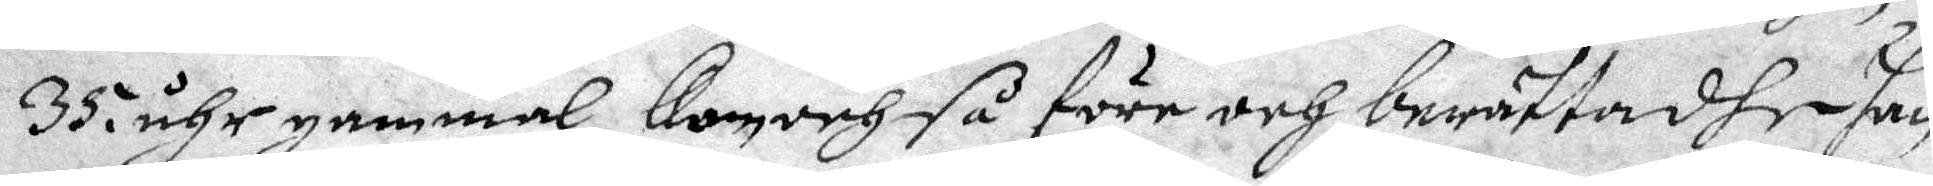35 åhr gammal, kom och så före och berättadhe han
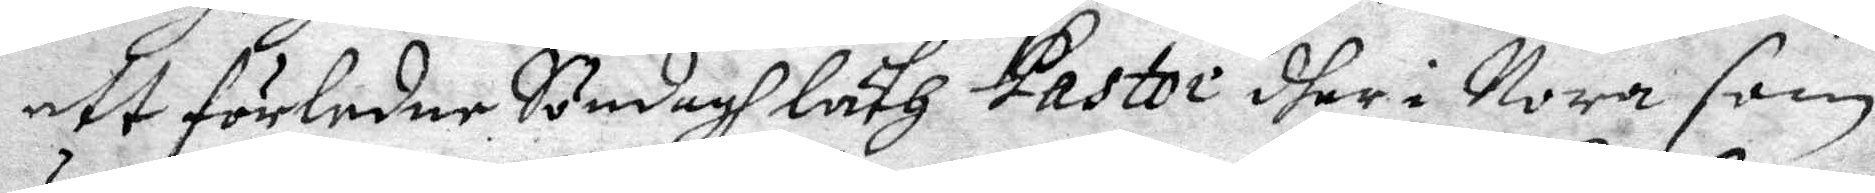att förledne Söndagh läth Pastor dher i Nora som
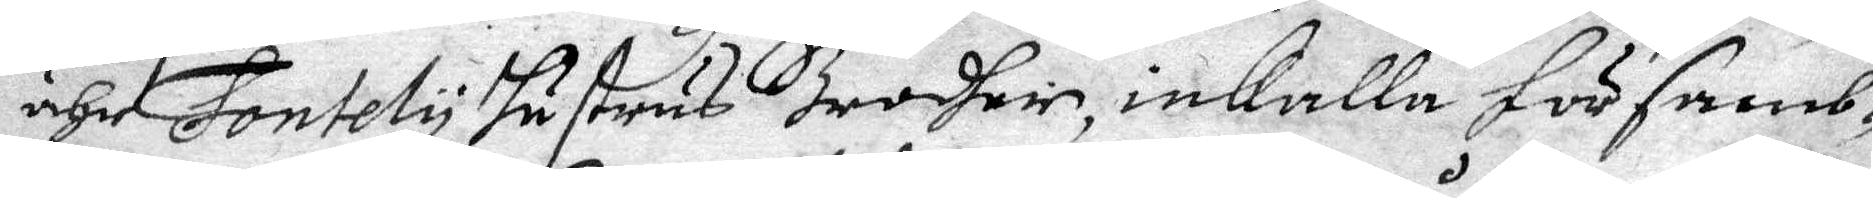ähr Fontely hustrus Brodher, inkalla församb¬
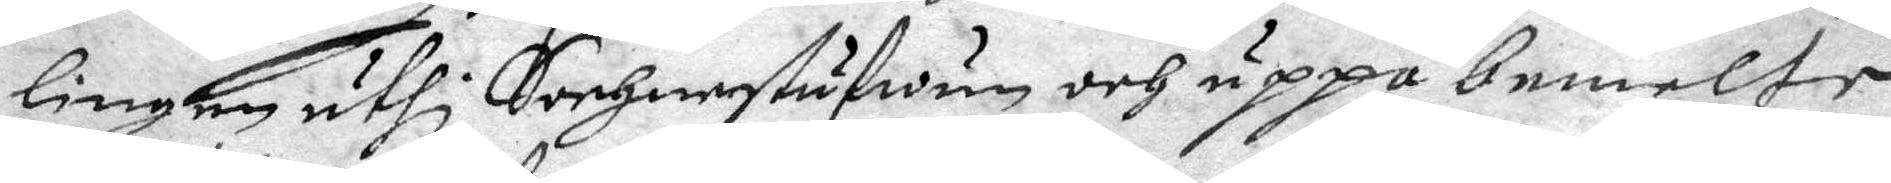lingen uthi Sochnestufwan och uppå bemelte
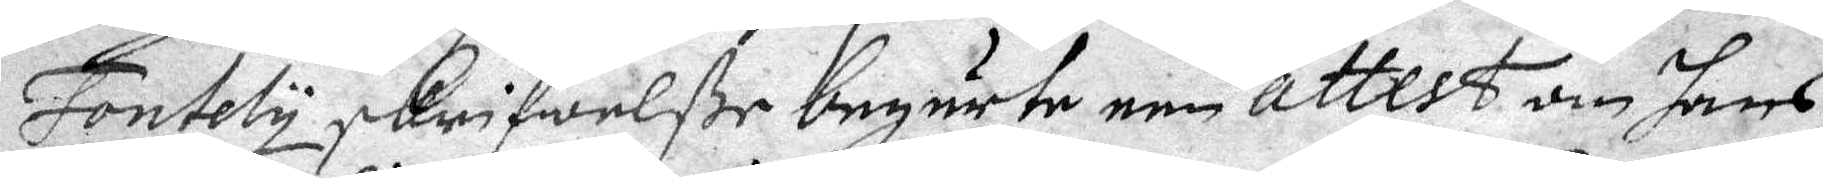Fontely skrifwelße begärte een attest om hans
